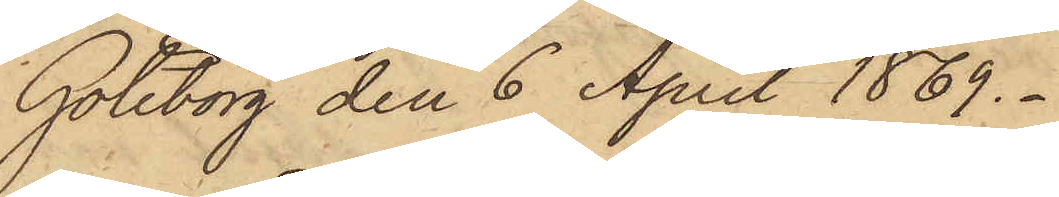Göteborg den 6 April 1869.
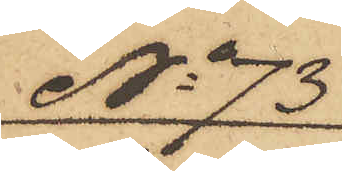No 73
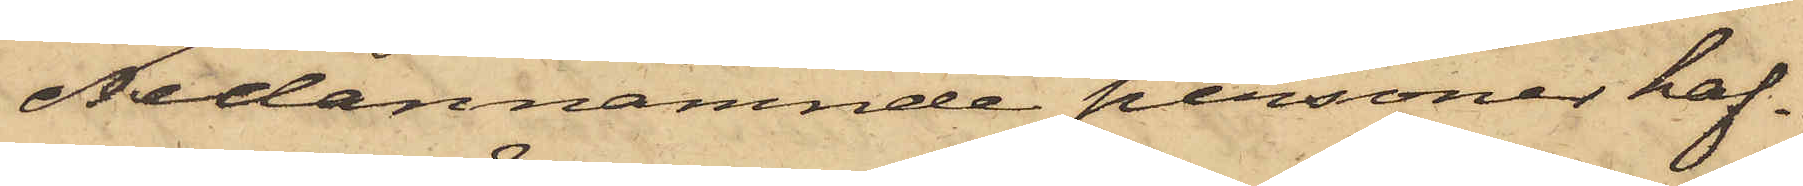Nedannämnde personer haf¬
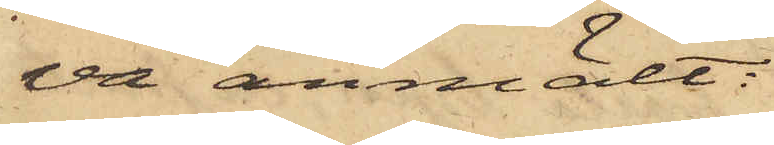va anmält:
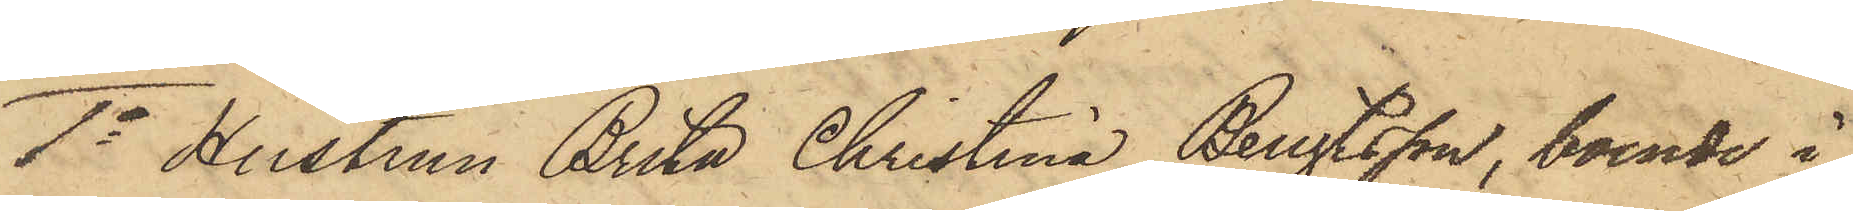1o Hustrun Brita Christina Bengtsson, boende å
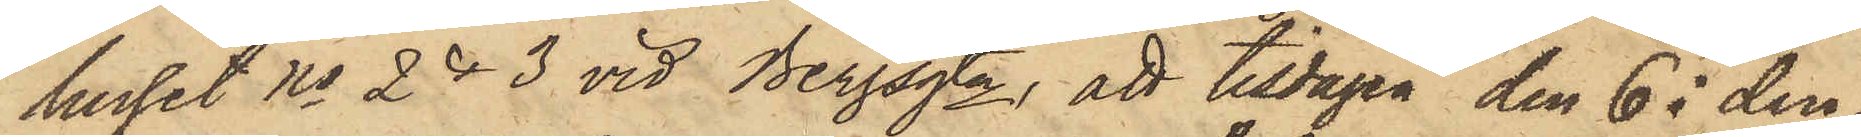huset No 2 & 3 vid Bergsgtn att tisdagen den 6 i den¬
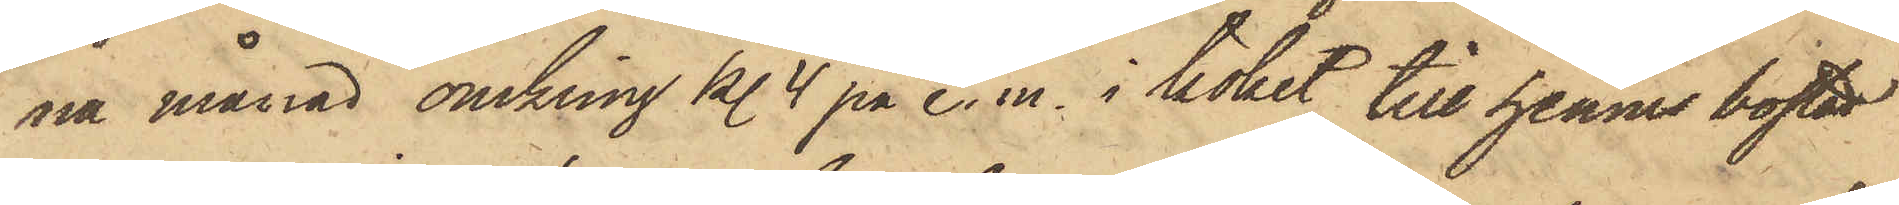na månad omkring kl. 4 på e.m. i köket till hennes bostad
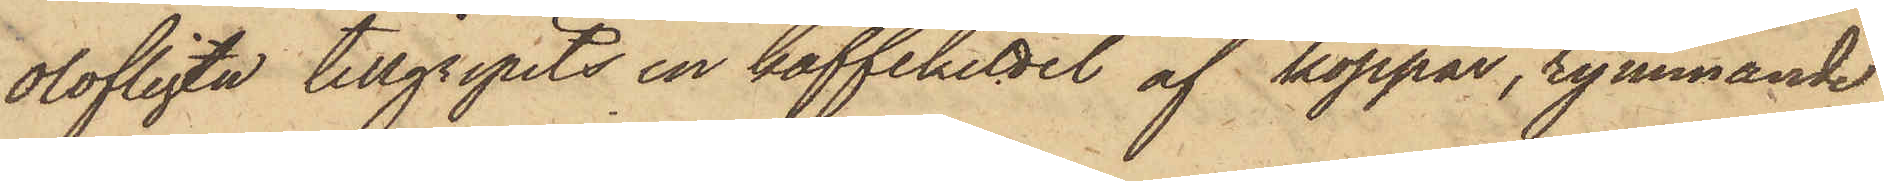olofligen tillgripits en kaffekittel af koppar, rymmande
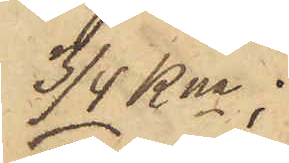3/4 kna;
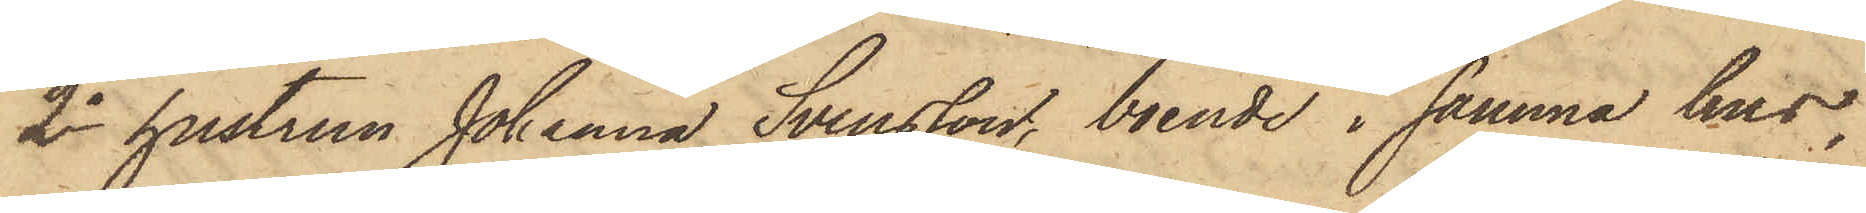2o hustrun Johanna Svensson, boende i samma hus,
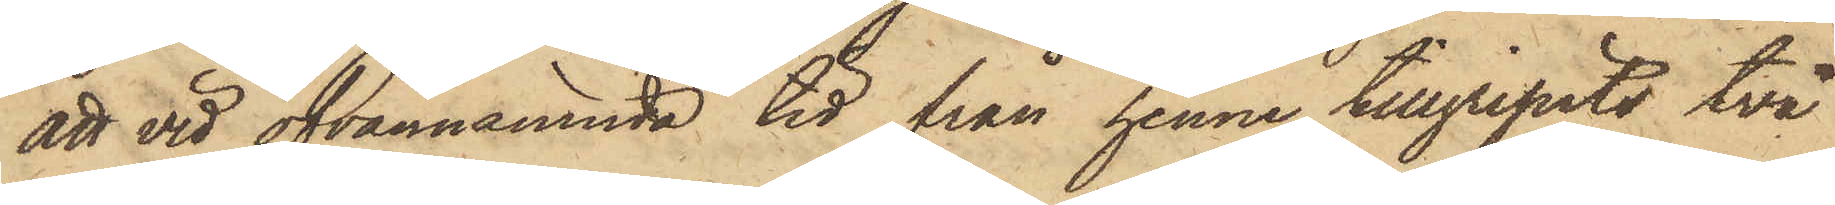att vid ofvannämnda tid från henne tillgripits två
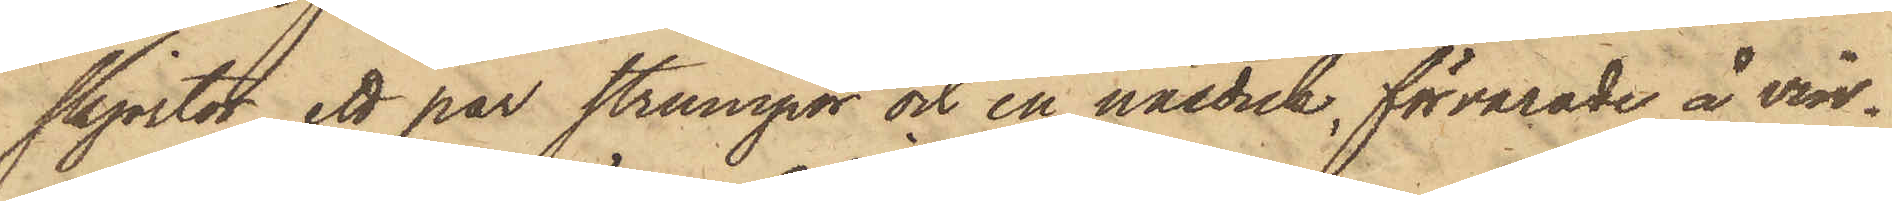skjortor, ett par strumpor och en näsduk, förvarade å vin¬
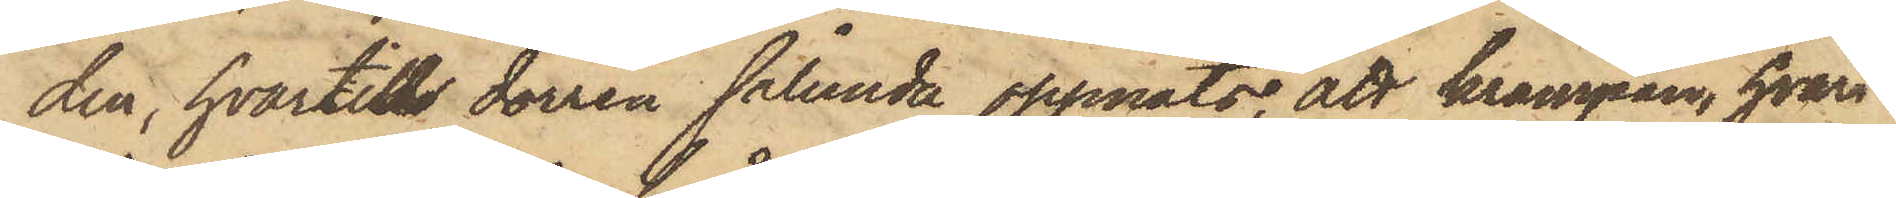den, hvartill dörren sålunda öppnats; att krampan, hvari
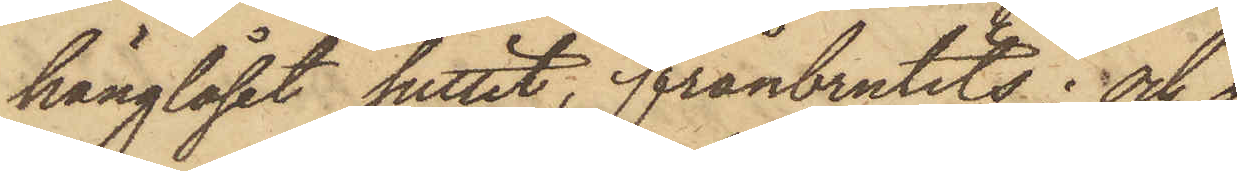hänglåset suttit, frånbrutits; och
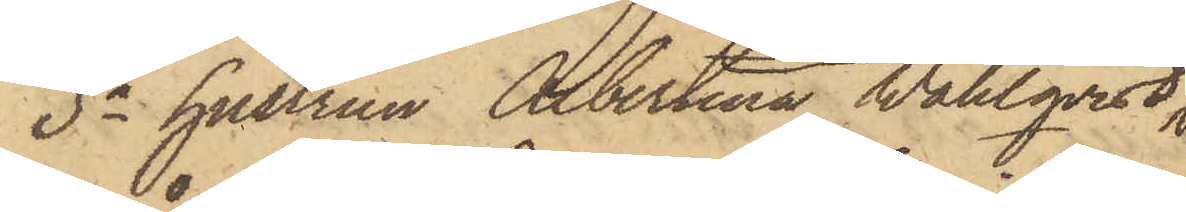3o hustrun Albertina Wahlqvist,
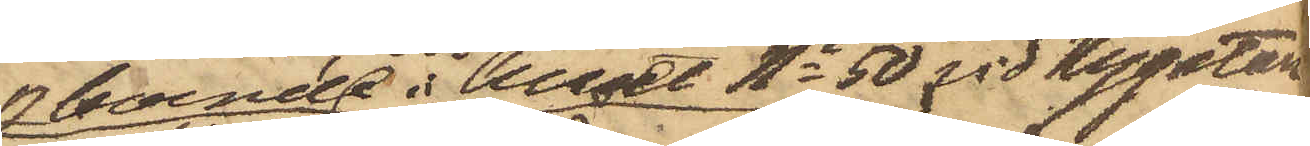boende i huset No 50 vid Nygatan
